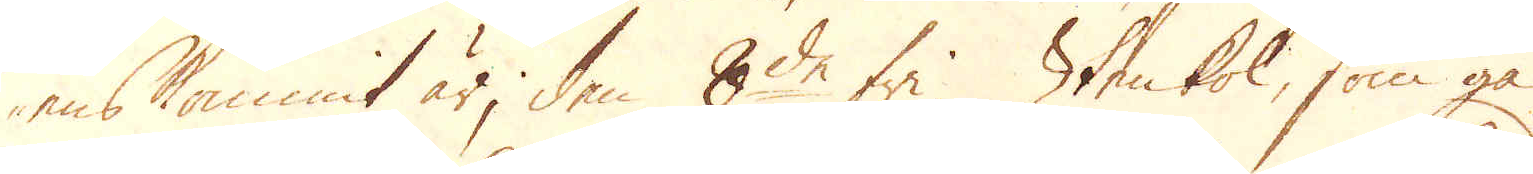ens kommit är, den 8de fri. Stenkol, som gå
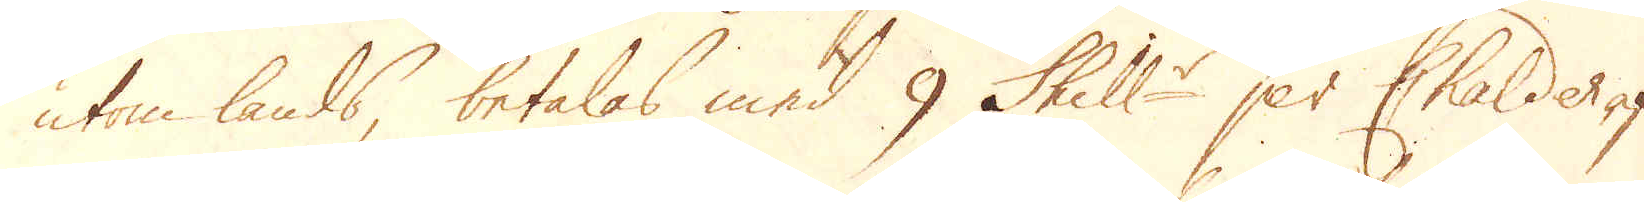utom lands, betalas med 9 Skill:r per Chalder af
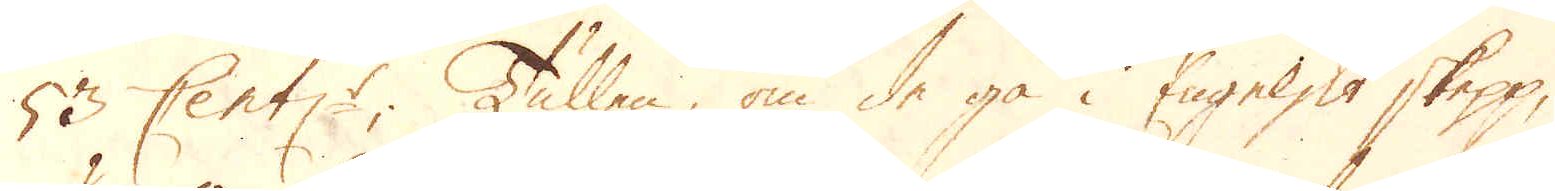53 Cent:r; Tullen, om de gå i Engelskt skepp,
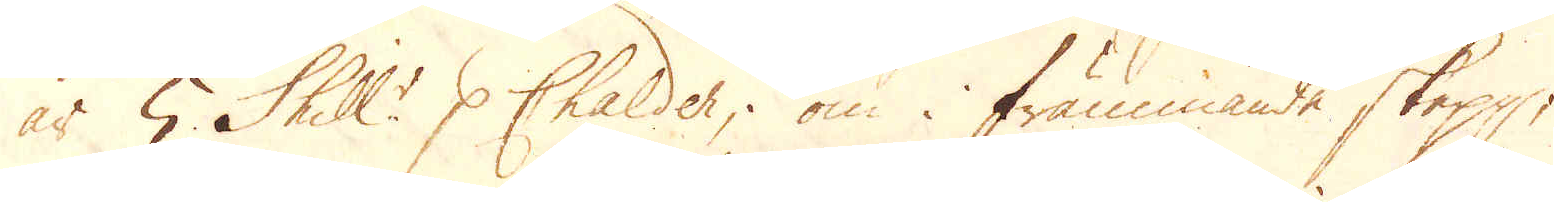är 5 Skill:r p Chalder; om i främmande skepp,
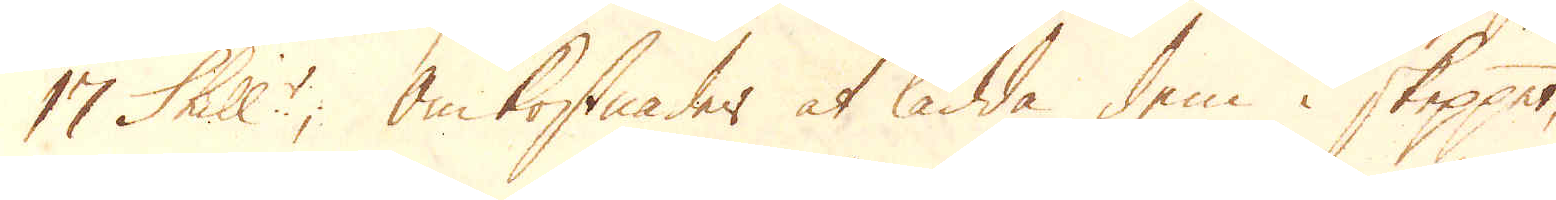17 Skill:r; omkostnader at ladda, dem i skeppet,
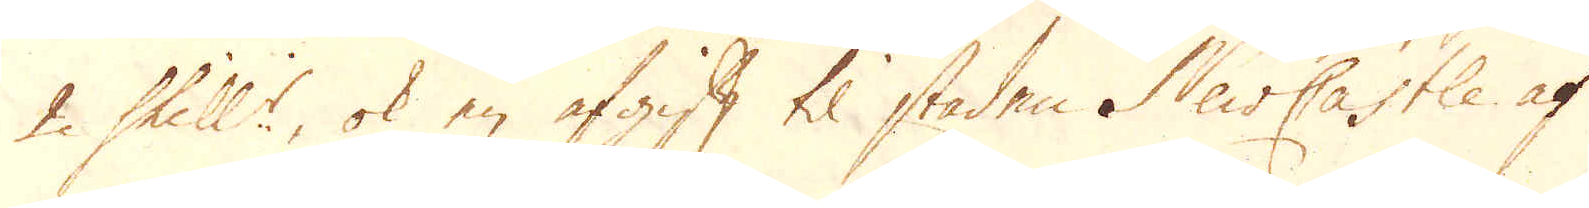2 Skill:r, ok en afgift til staden NewCastle af
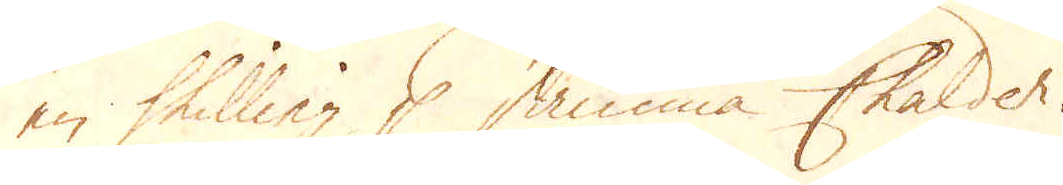en Skilling p samma Chalder.
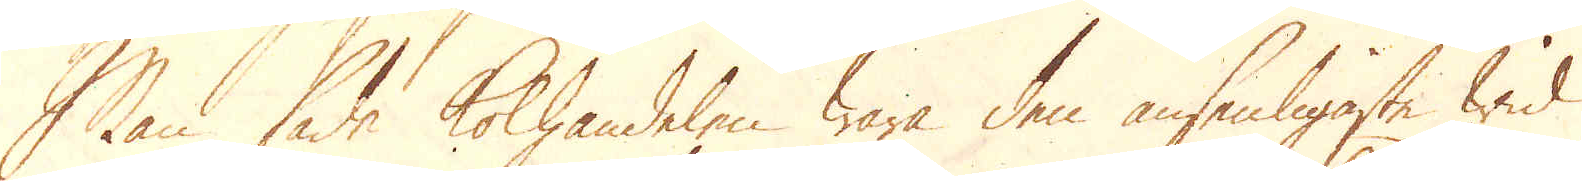Man sade kolhandeln wara den ansenligaste wid
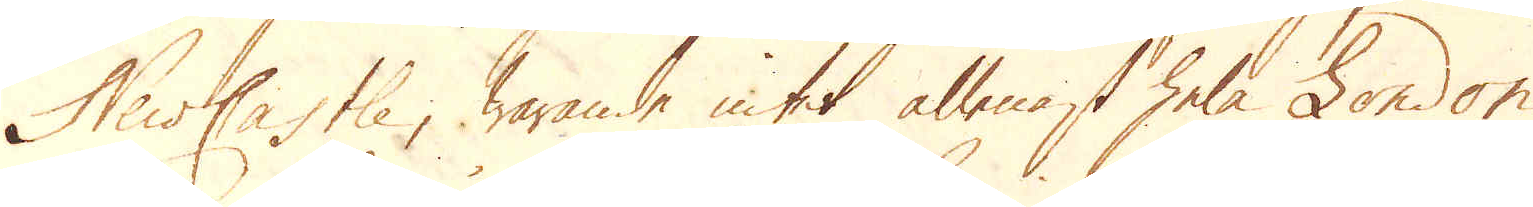NewCastle, warande intet allenast hela London
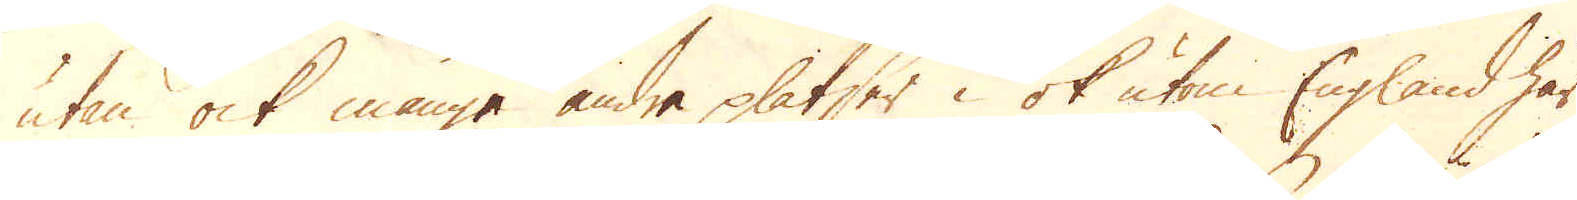utan ock månge andra platser i ok utom England här
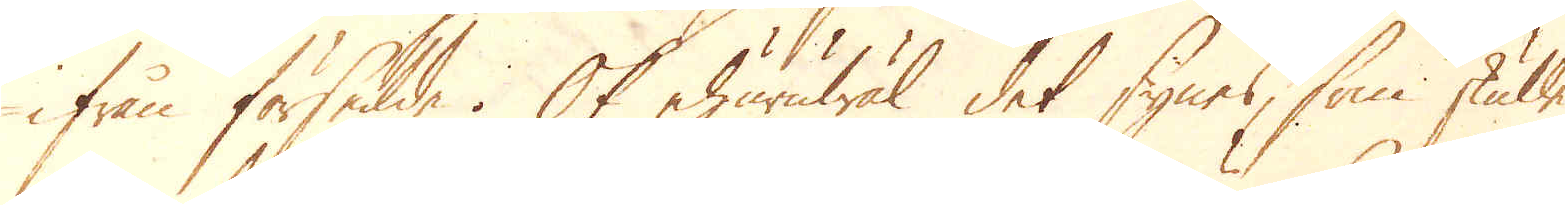ifrån försedde. Ok ehuruwäl det synes, som skulle
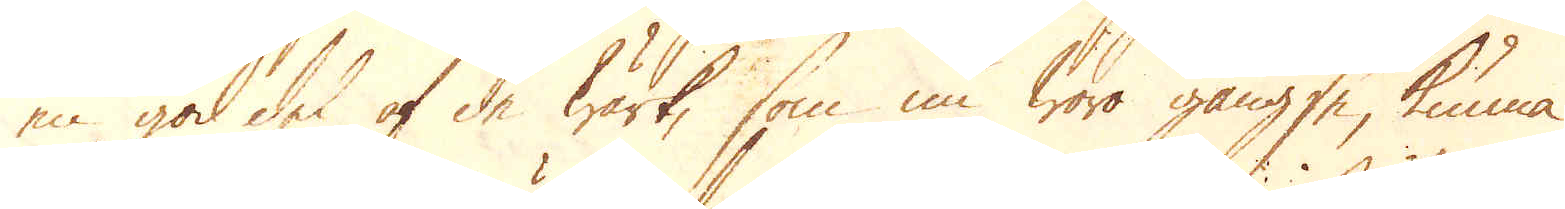en god del af de wärk, som nu wara gängse, kunna
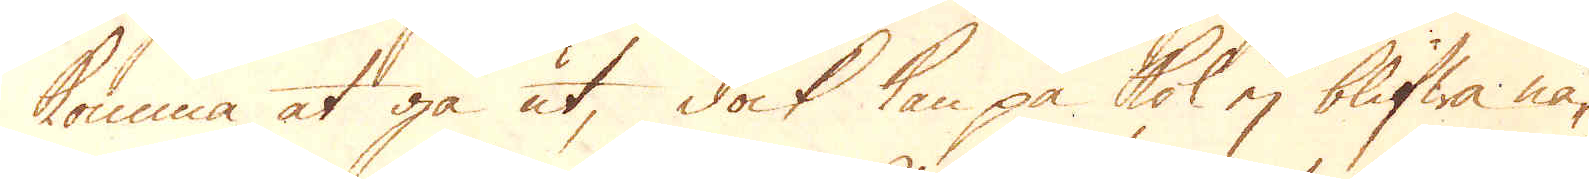komma at gå ut, dock kan på kol ej blifwa nå-
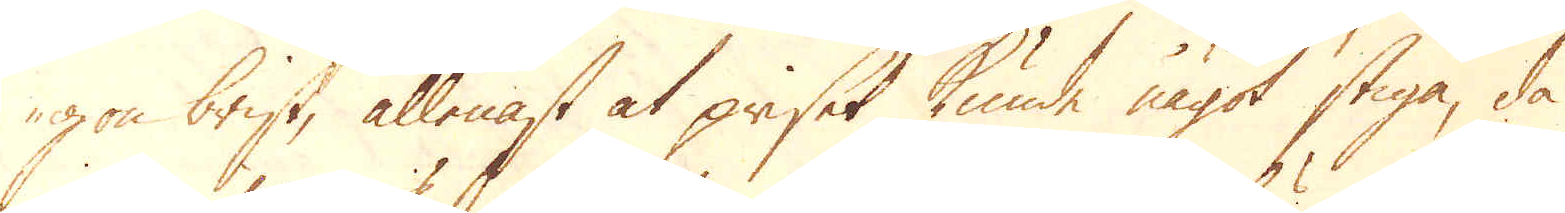gon brist, allenast at priset kunde något stiga, då
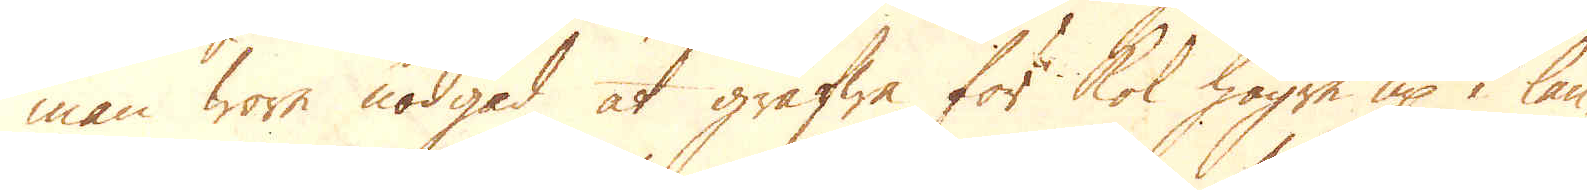man wore nödgad at gräfwa för kol högre up i lan-
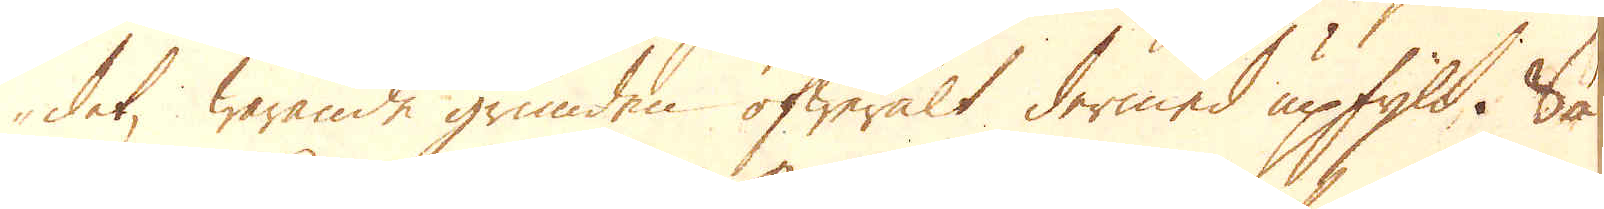det, warande grunden öfweralt dermed upfyld. Så
